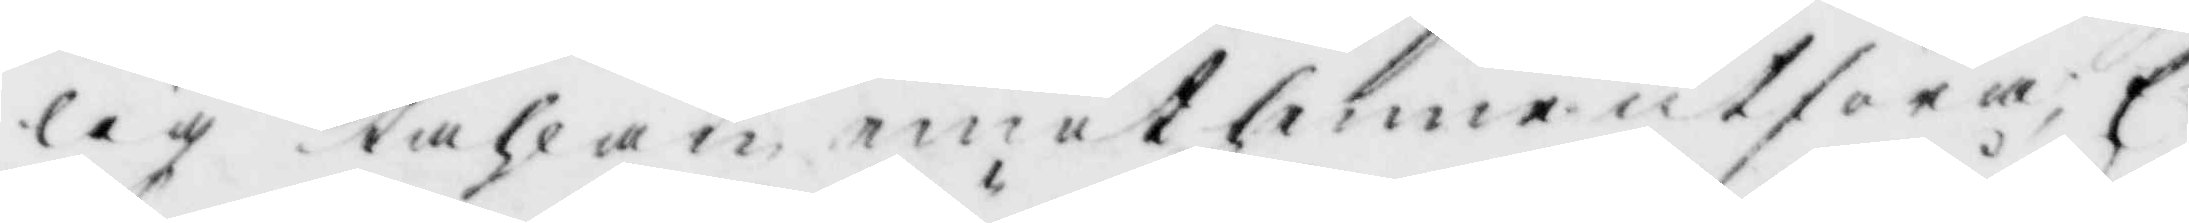lig tahlan, emot henne utföra, E¬
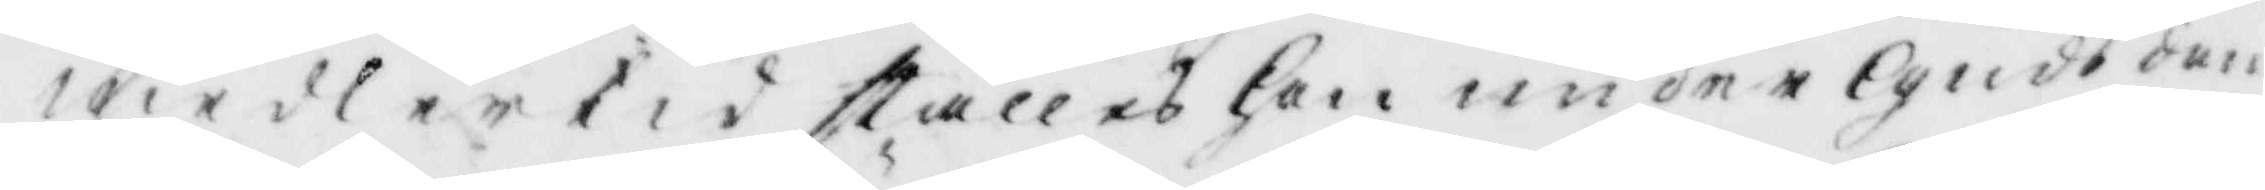medlertid ställes hon under Guds dom
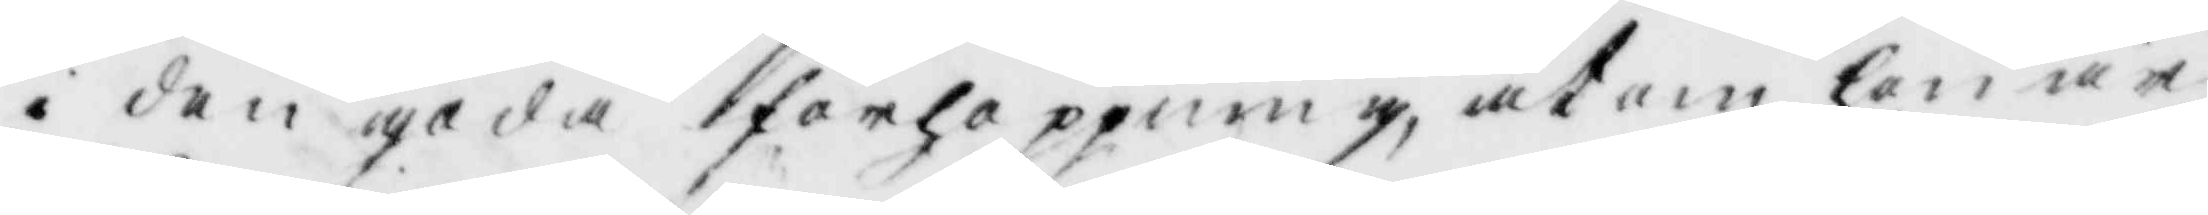i den goda förhoppning uran hon är
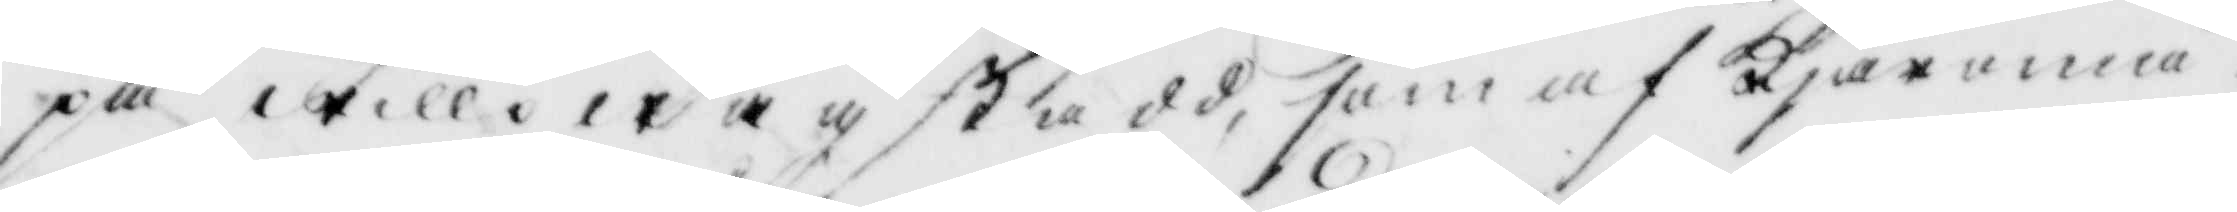på willowäg stadd, som af kjäromå¬
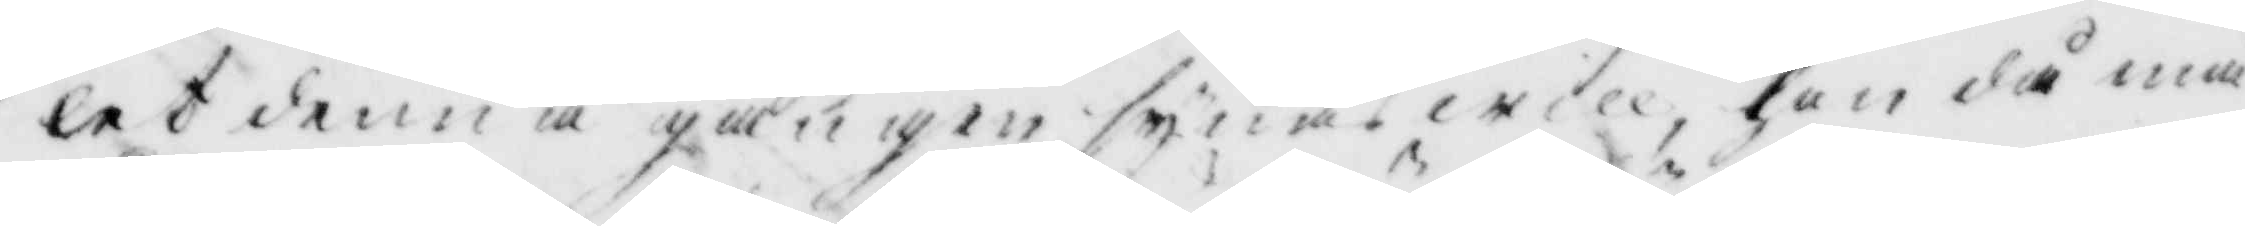let denna gången synas will, hon då må
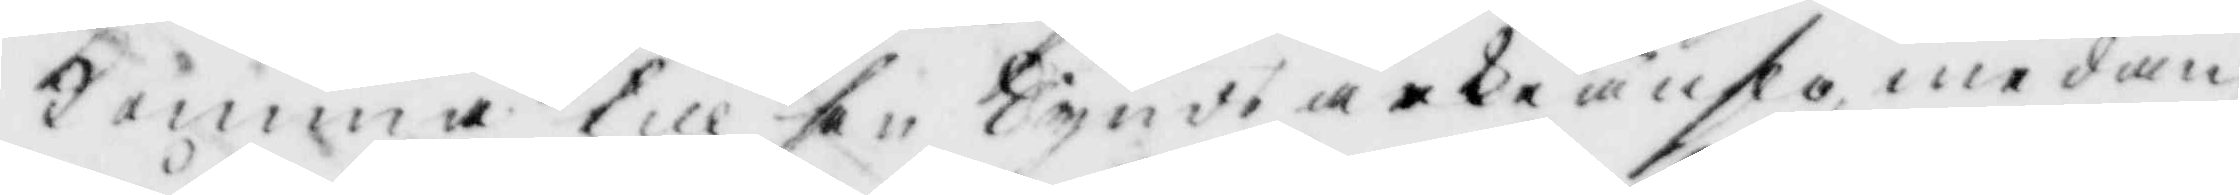Komma till sin Synds ärkeänslo medan
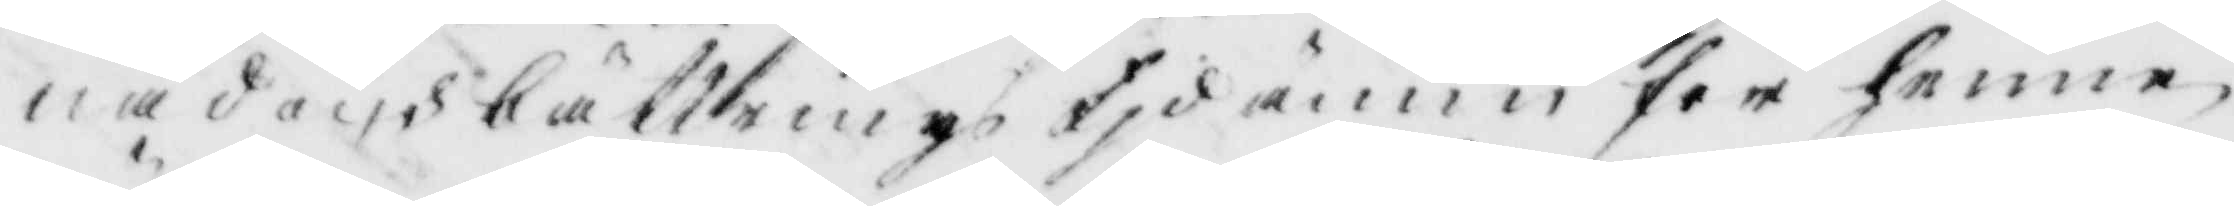nåd och bättrings tid ännu för henne
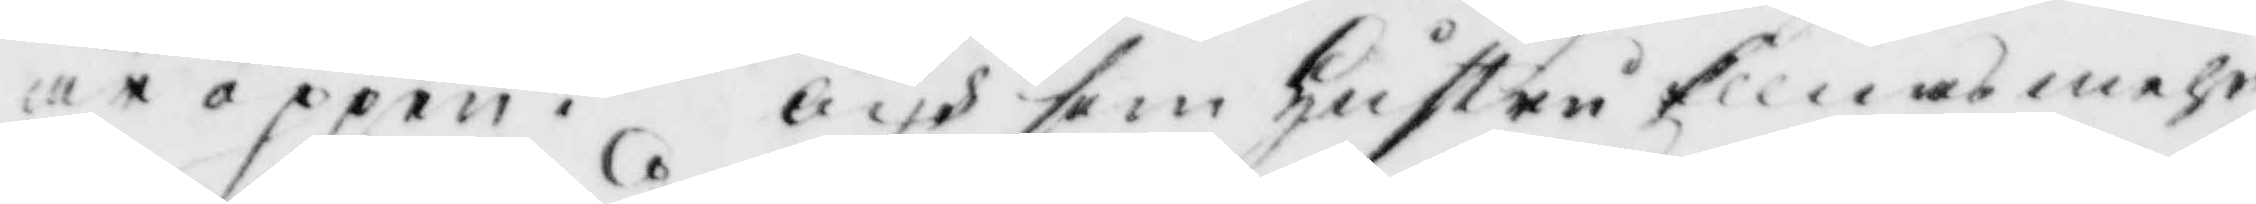är öppen, och som hustru Ellnas mehr
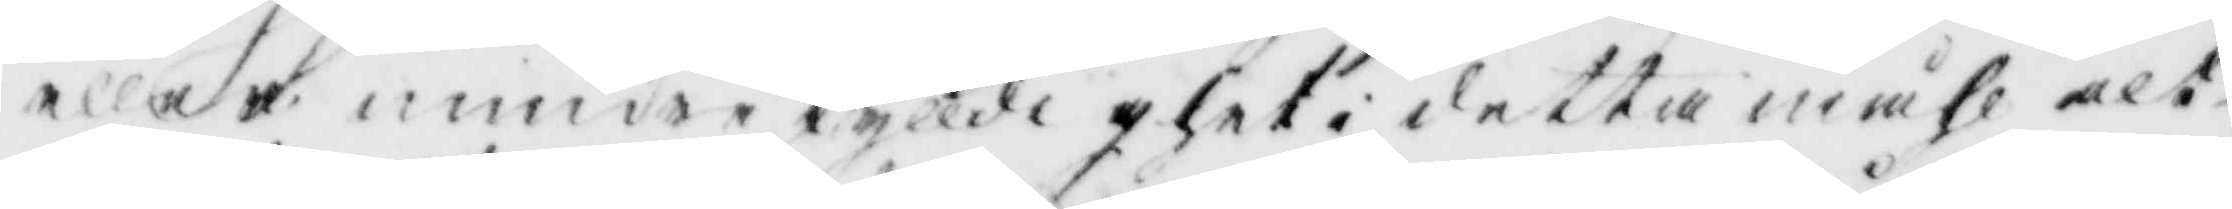eller mindre skylldighet i detta måhl alt¬
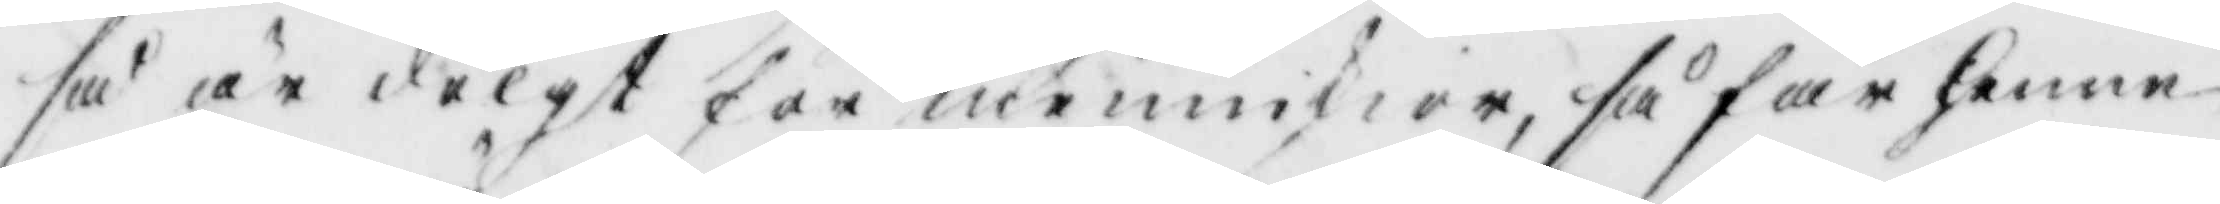så är dölgt för menniskior, så får henne
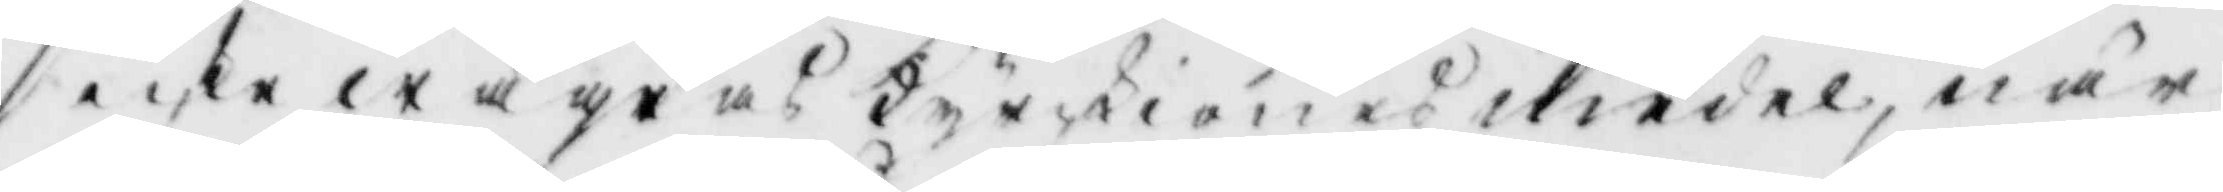icke wägras kyrckiones medel, när
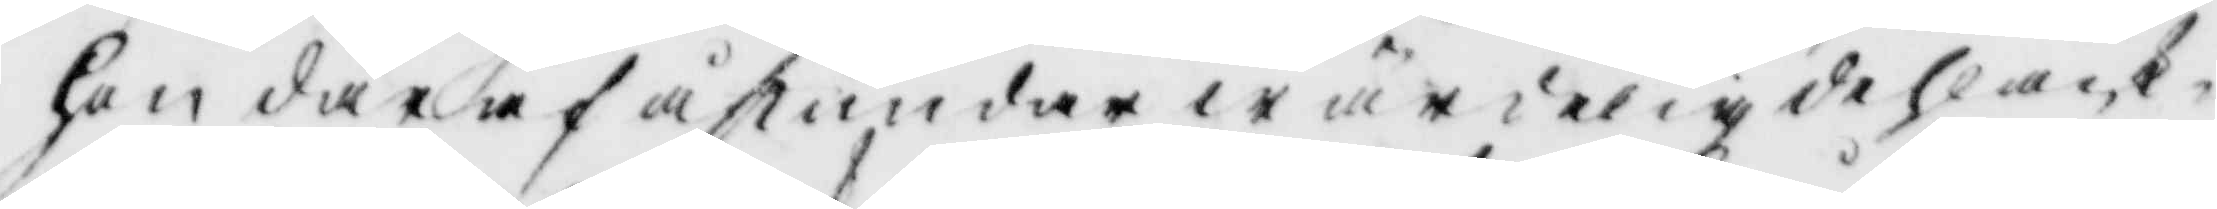hon däraf åstundar wärdelig dehlack¬
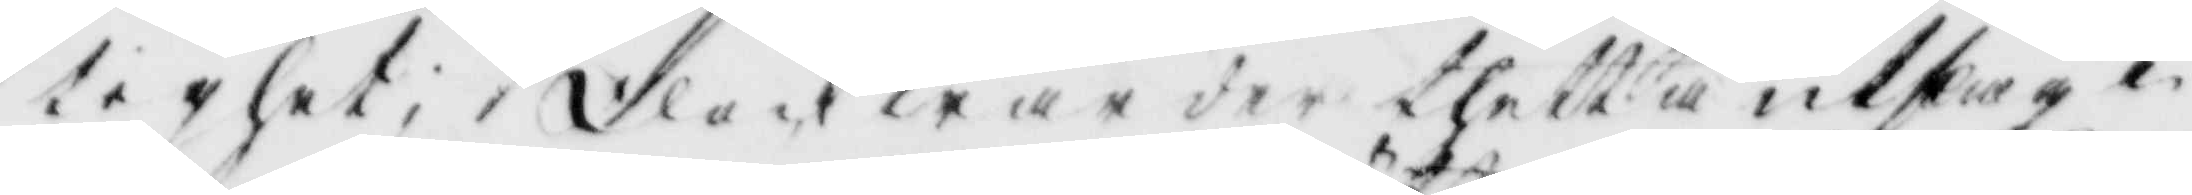tighet, dock war det thetta utskag i
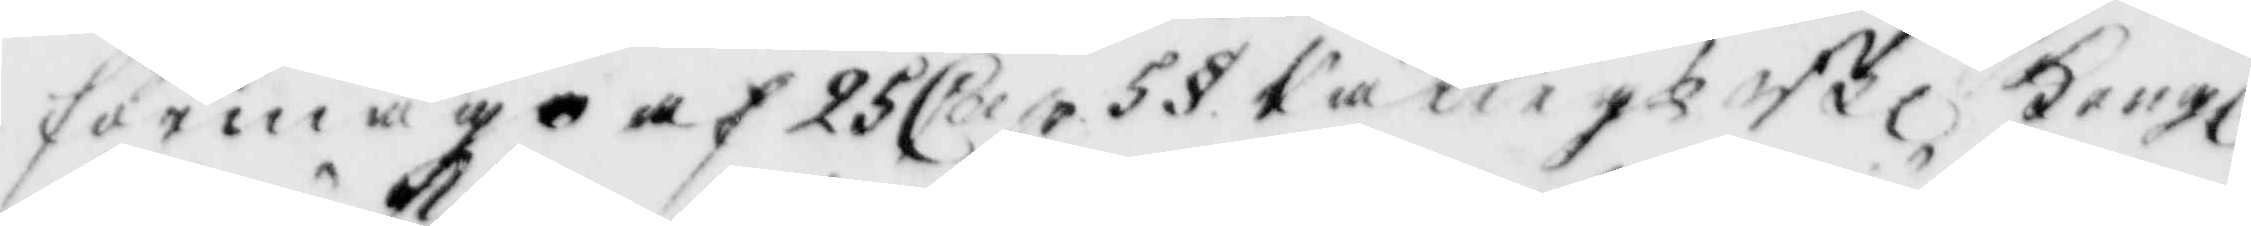förmågo af 25 Cap. 5 § RättegkBl, Kongl
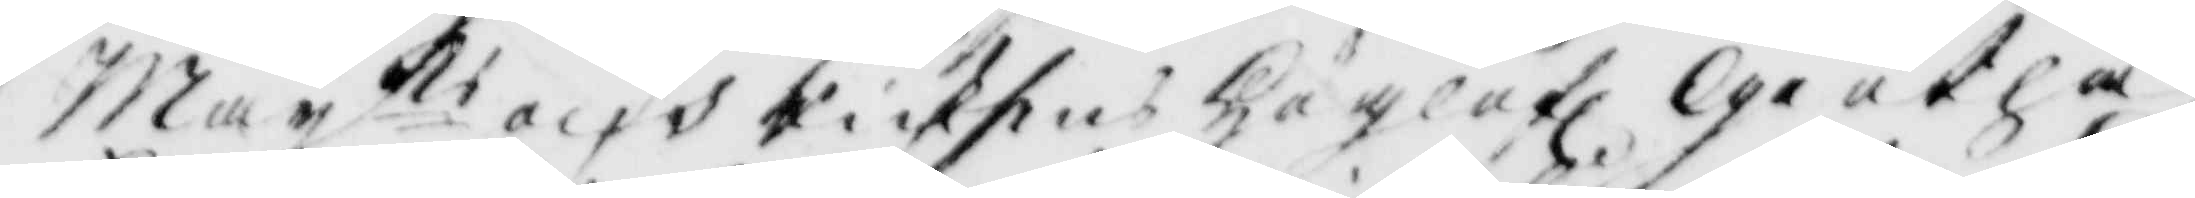Mayts och Riksens Höglofl Giötha
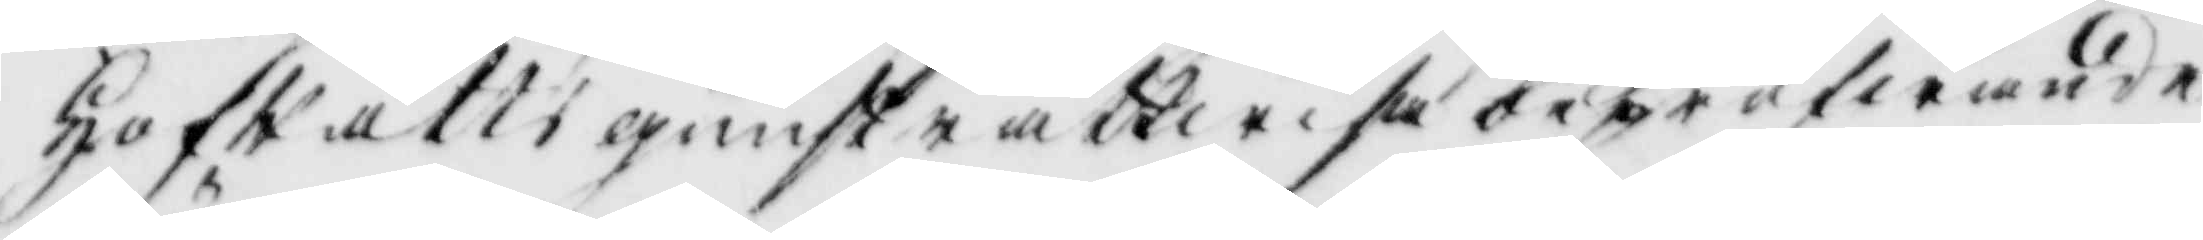Hofrätts gunsträttwisa bepröfwande
